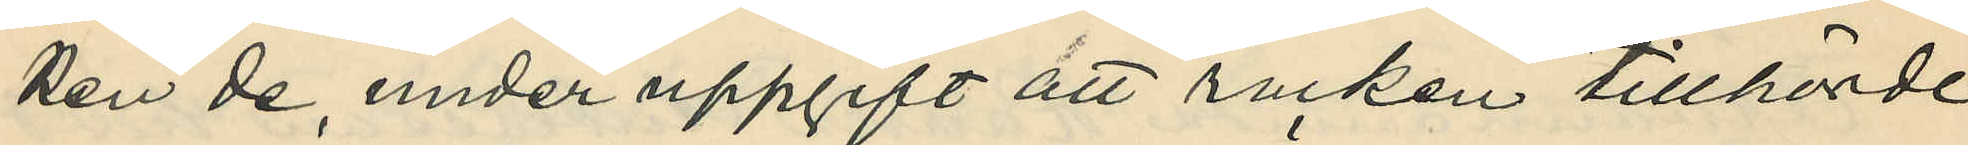ken de, under uppgift att rocken tillhörde
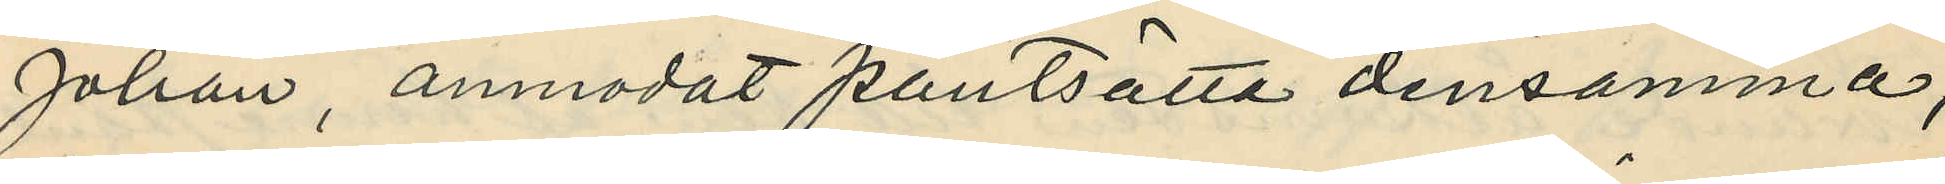Johan, anmodat pantsätta densamma,
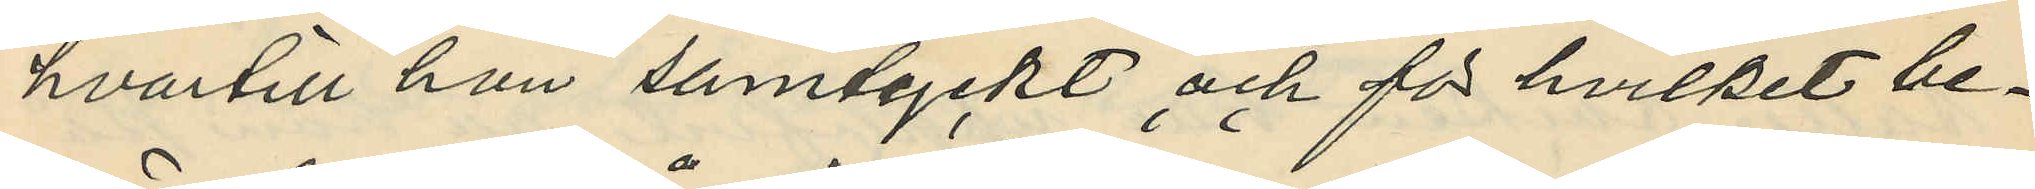hvartill hon samtyckt och för hvilket be¬
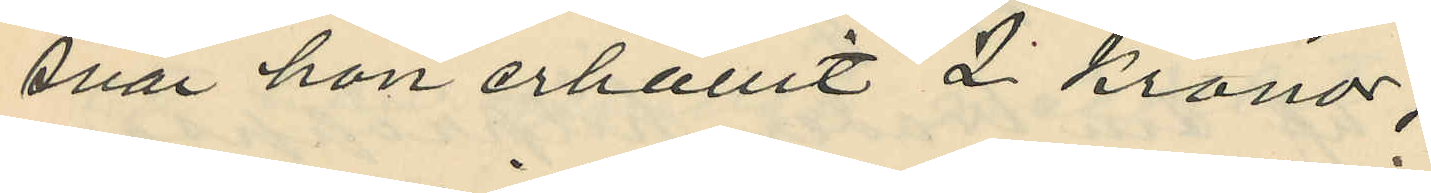svär hon erhållit 2 Kronor;
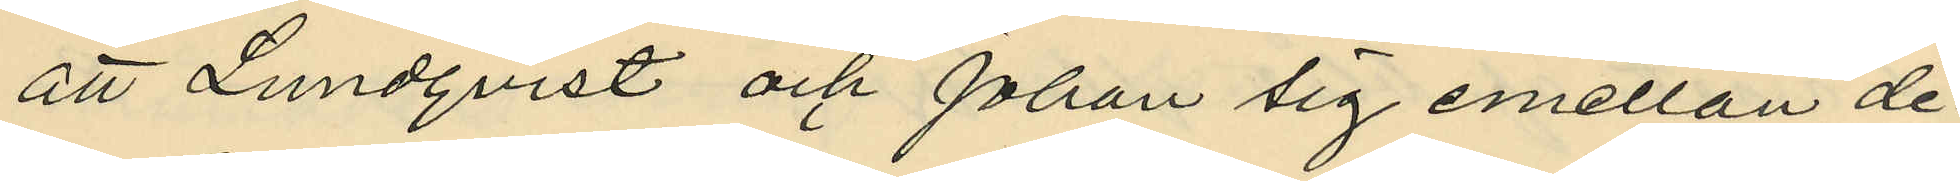att Lundqvist och Johan sig emellan de¬
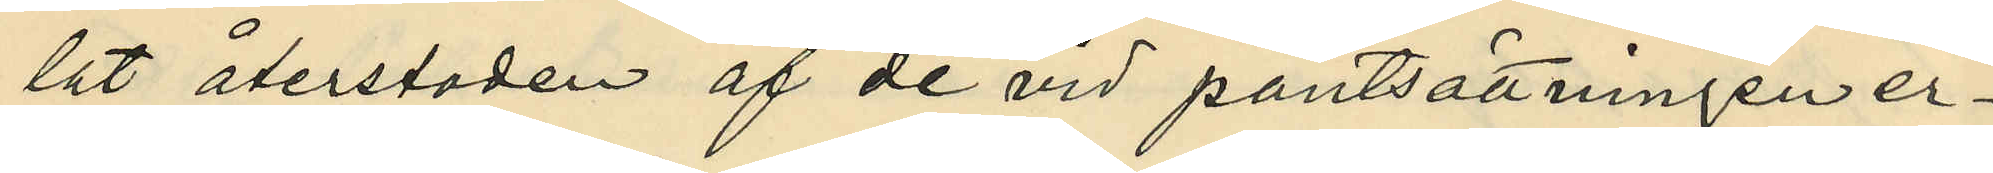lat återstoden af de vid pantsättningen er¬
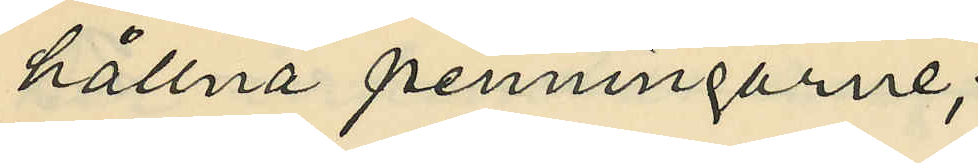hållna penningarne;
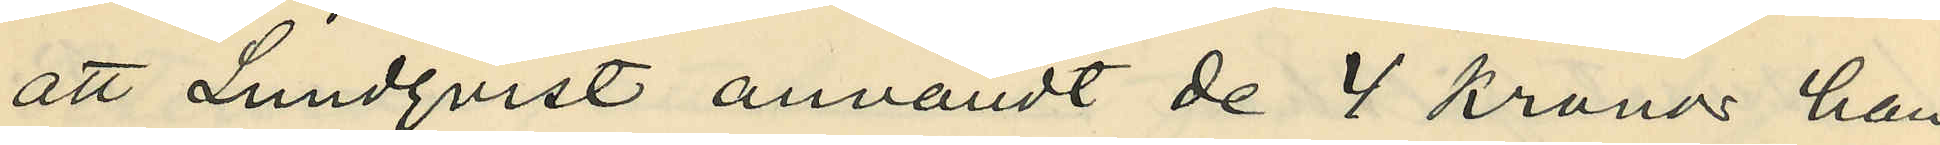att Lundqvist användt de 4 Kronor, han
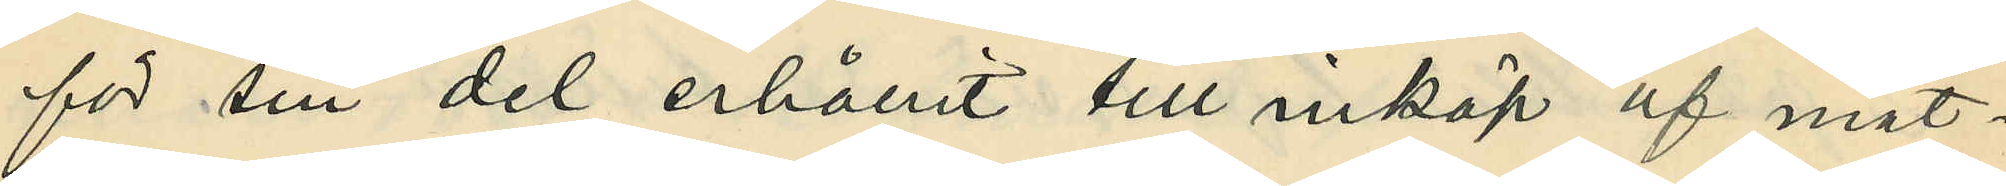för sin del erhållit till inköp af mat¬
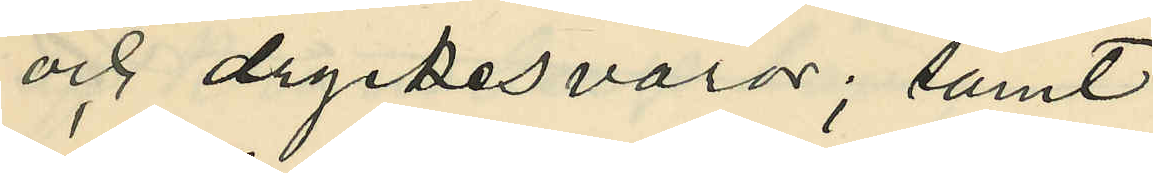och dryckesvaror; samt
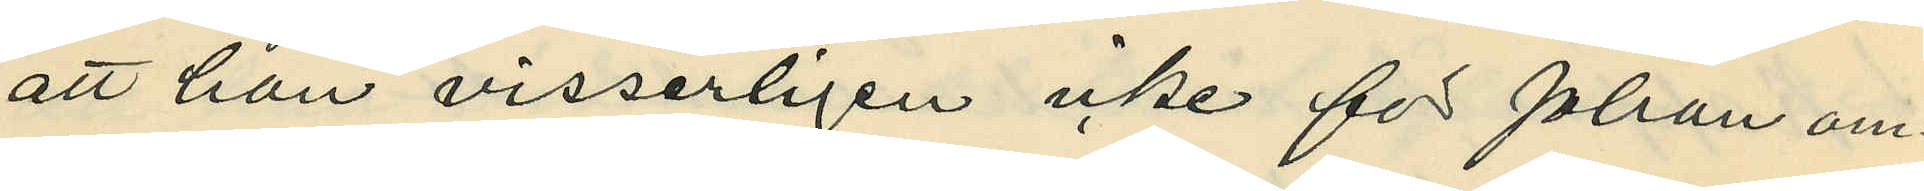att han visserligen icke för Johan om¬
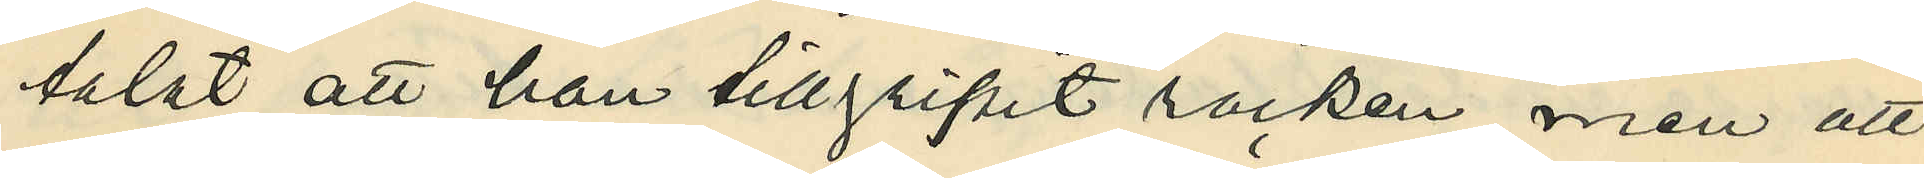talat att han tillgripit rocken men att
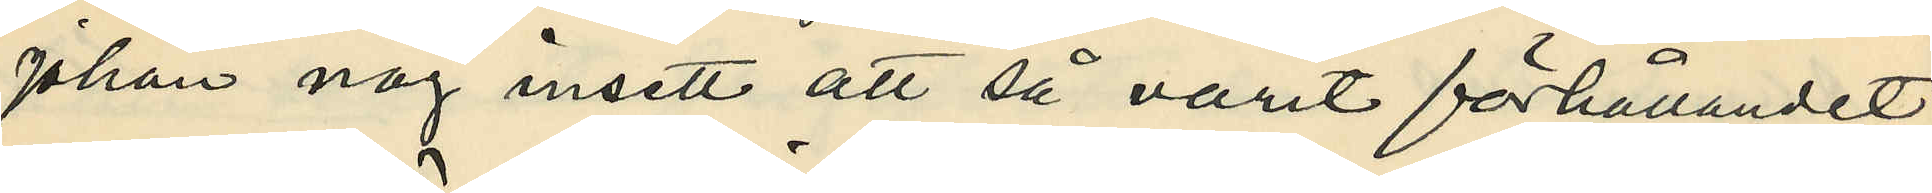Johan nog insett att så varit förhållandet.
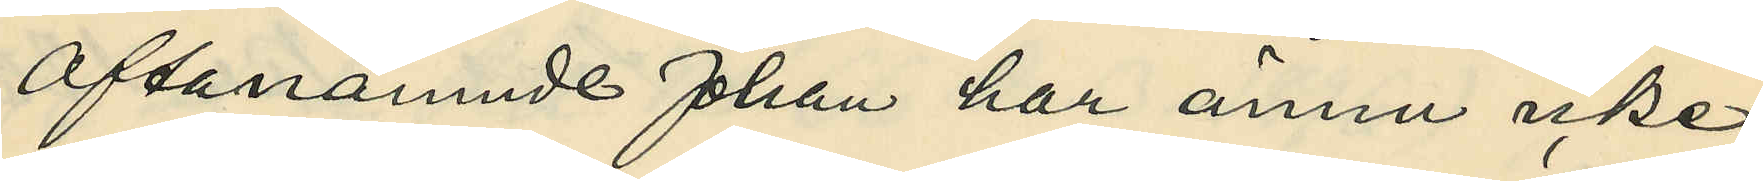Oftanämnde Johan har ännu icke
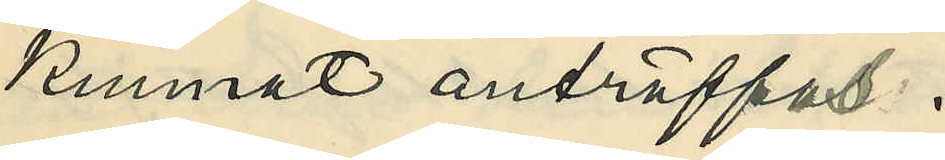kunnat anträffas.
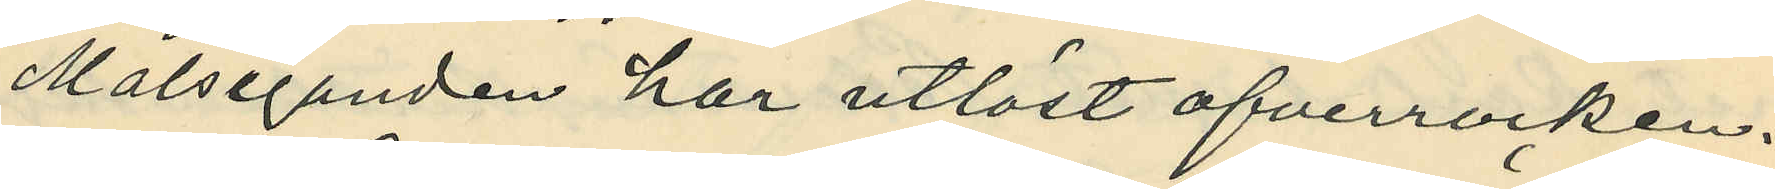Målseganden har utlöst ofverrocken.
